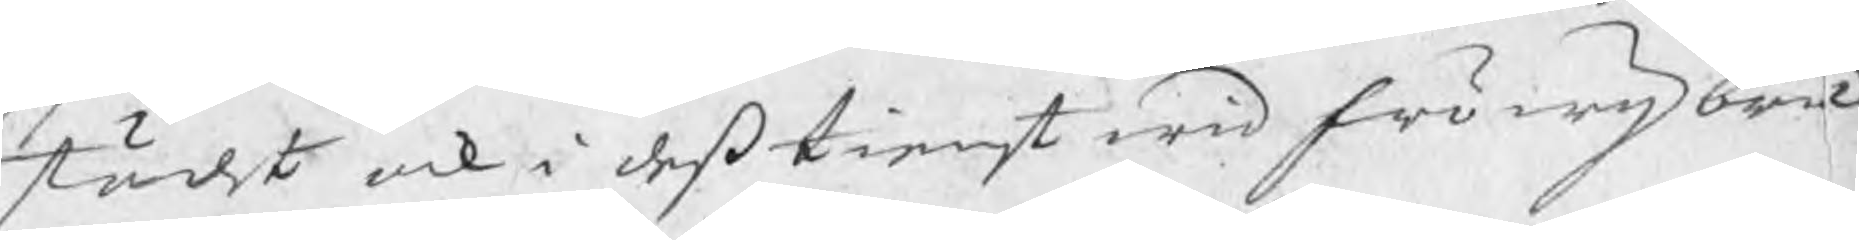städt ock i deß tienst wid Fröwij bruk
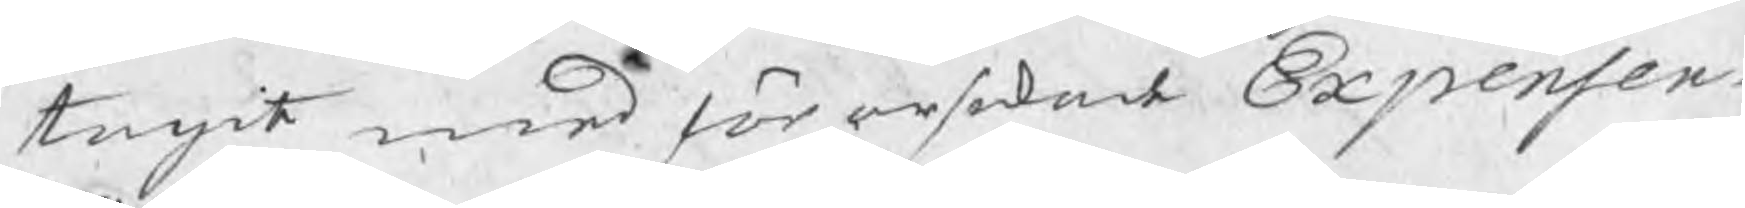tagit med förorsakade Expenser.
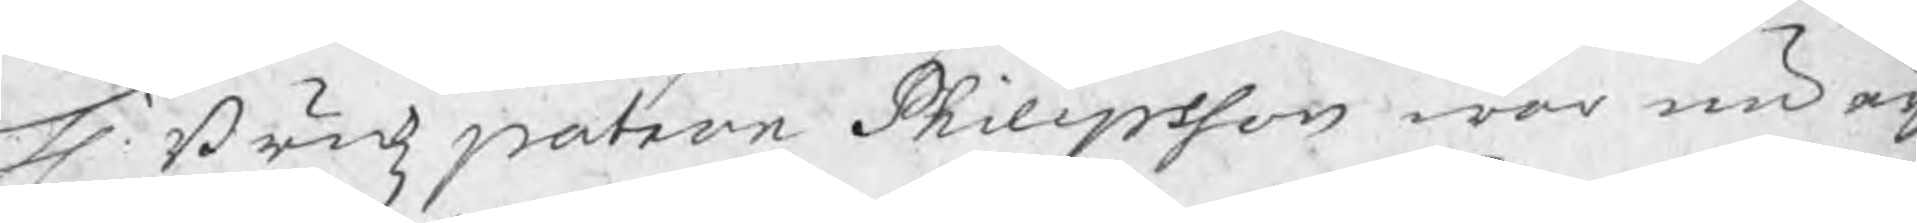H. Brukzpatron Philipsson war nu äij
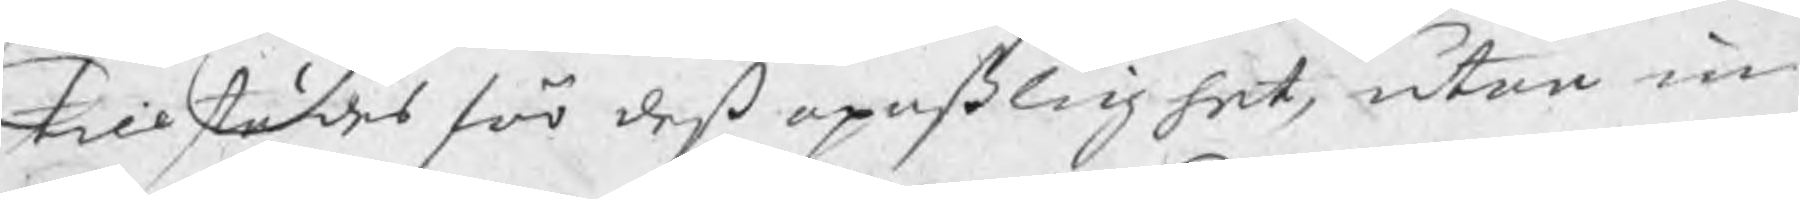tillstädes för deß opaßlighet, utan in
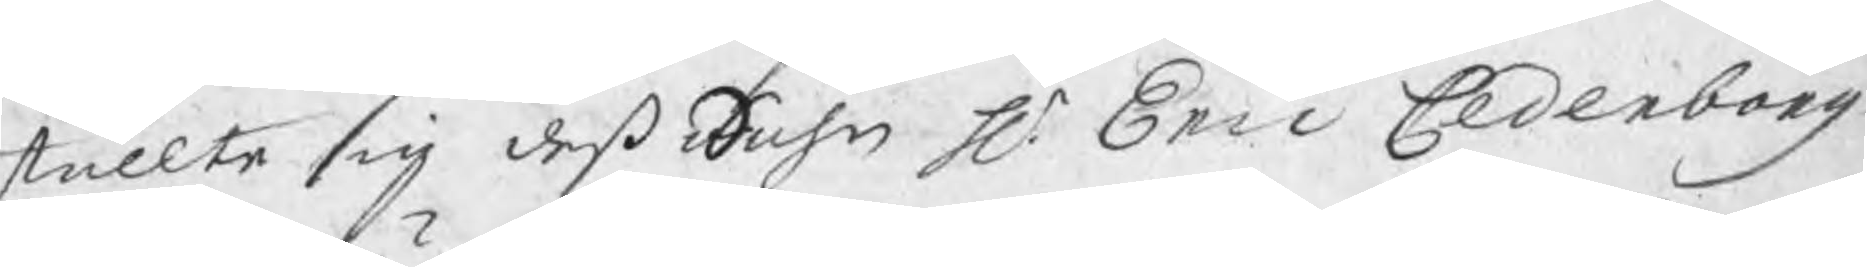ställte sig deß Sohn Hr. Eric Cederborg
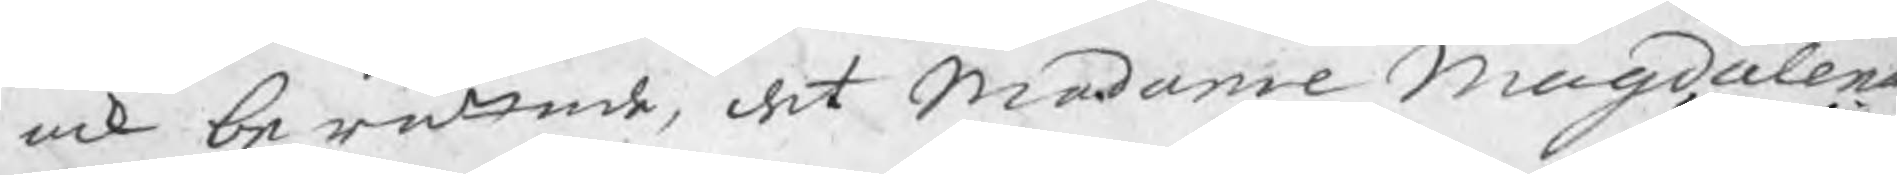ock berättade, det Madame Magdalena
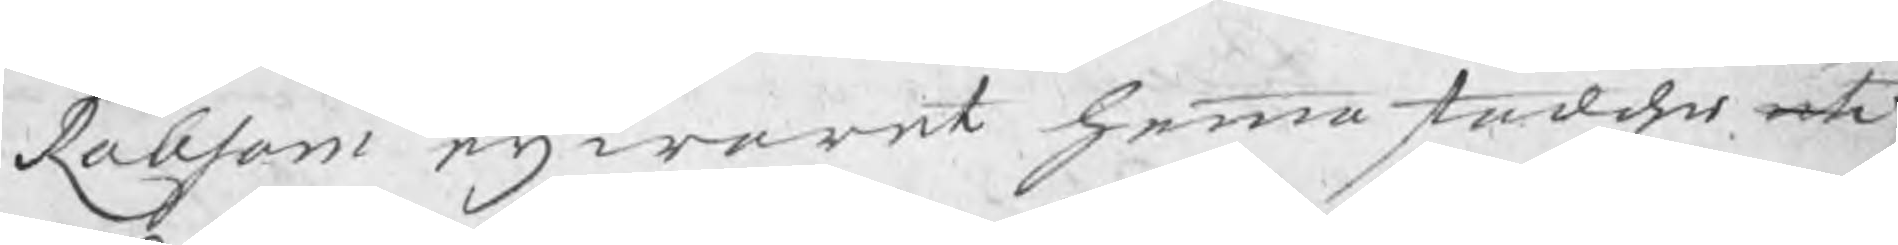Robsam eij warit hemmastaddes uti
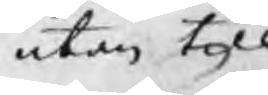utan till
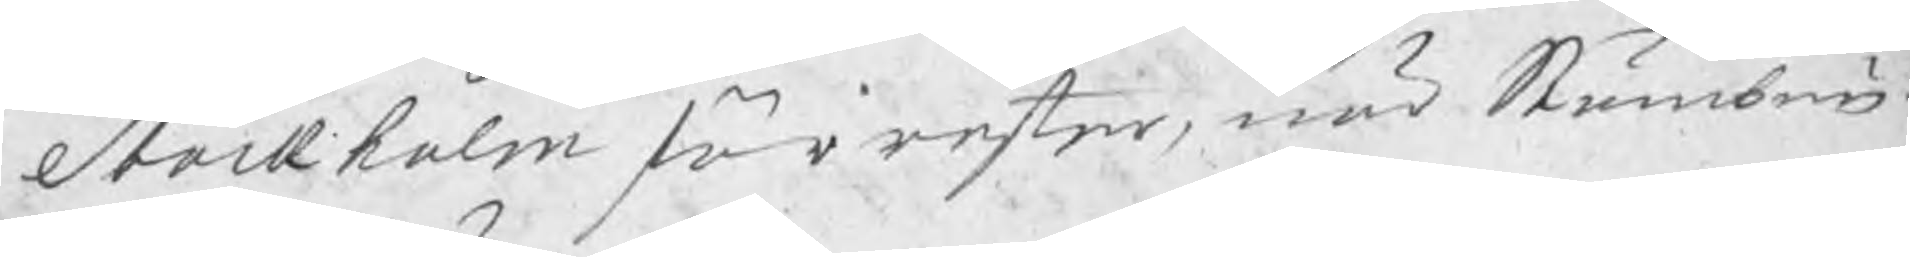Stockholm förrester, när Stämbnin-
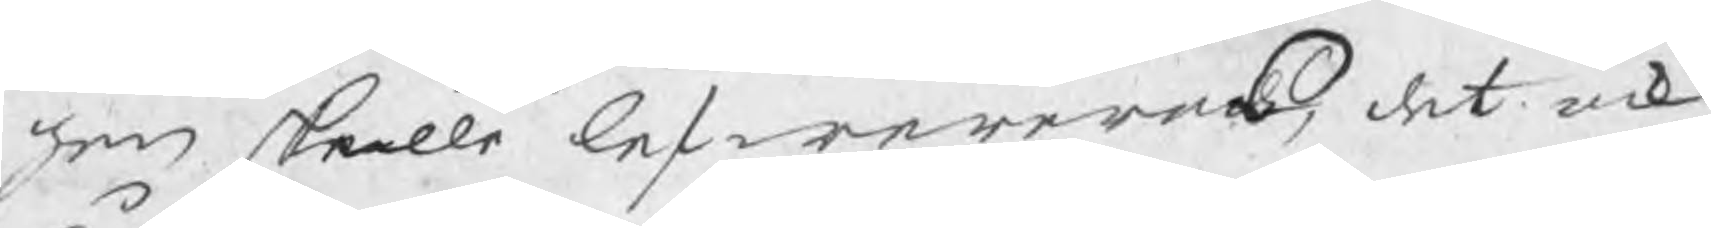gen skulle lefwereras, det ock
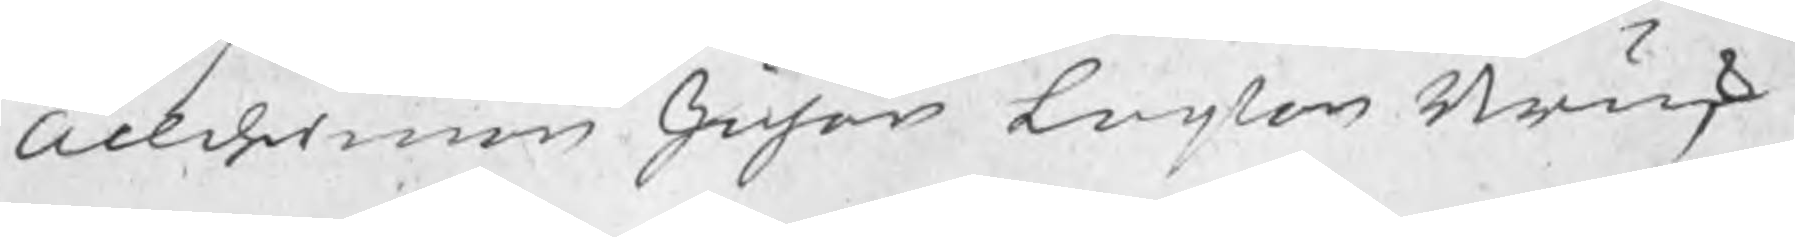Ållderman Johan Larson Brusk
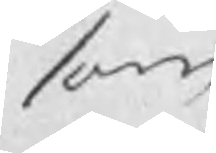som
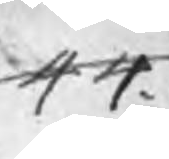44.
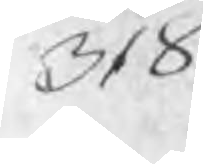318
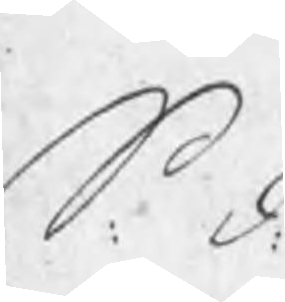S. d.
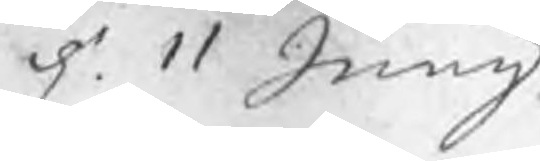d. 11 Junij
